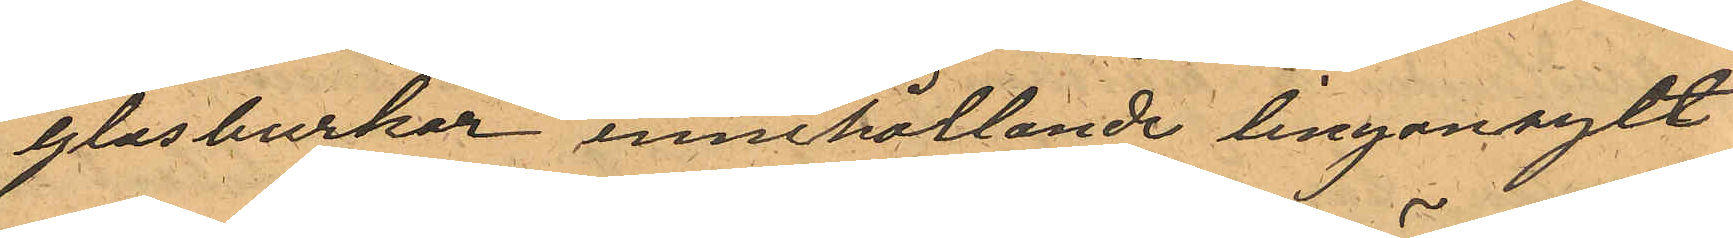glasburkar innehållande lingonsylt
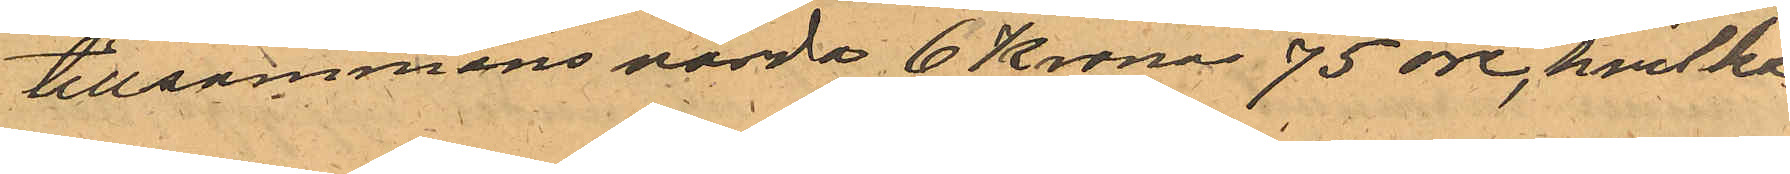tillsammans värda 6 Kronor 75 öre, hvilka
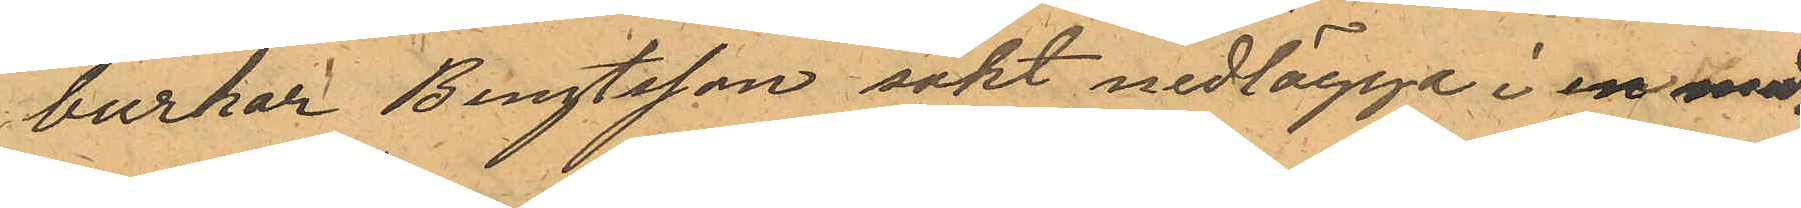burkar Bengtsson sökt nedlägga i en me¬
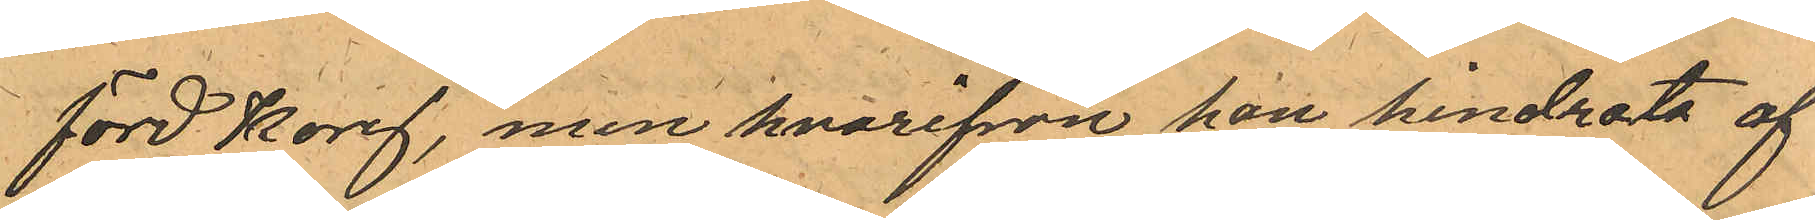förd korg, men hvarifrån han hindrats af
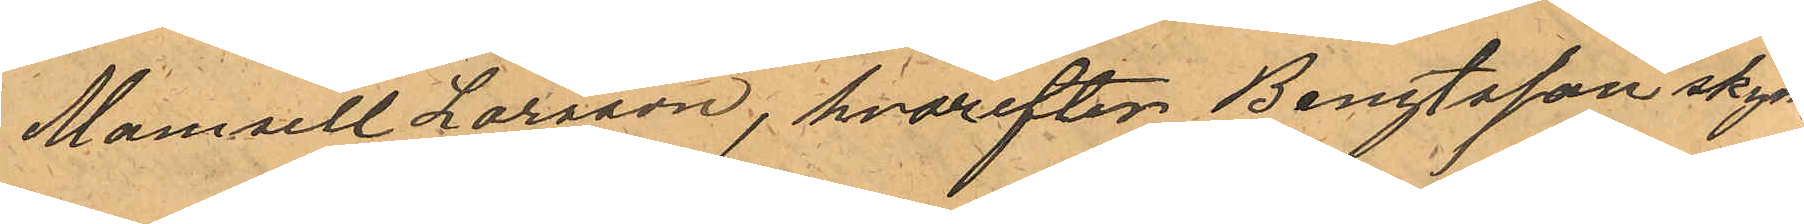Mamsell Larsson, hvarefter Bengtsson skynd¬
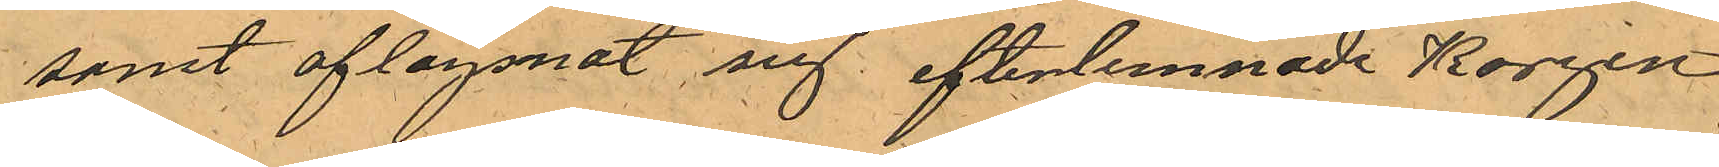samt aflägsnat sig efterlemnade Korgen
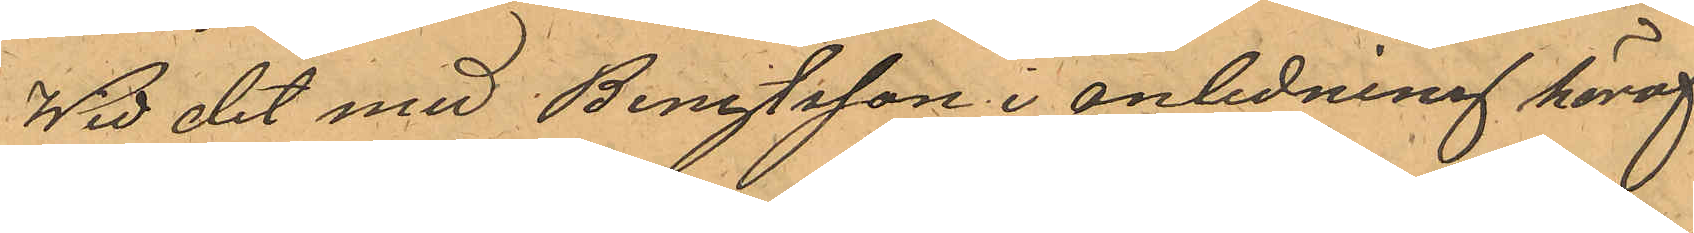Wid det med Bengtsson i anledning häraf
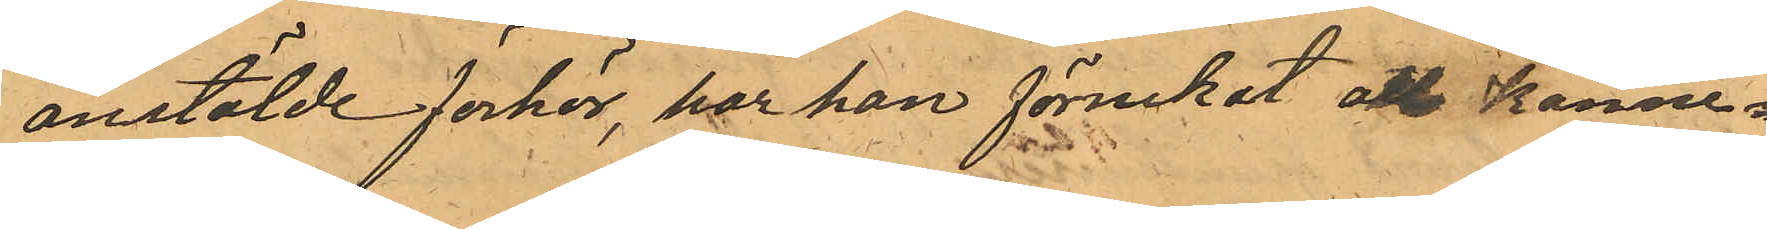anstälde förhör, har han förnekat all känne¬
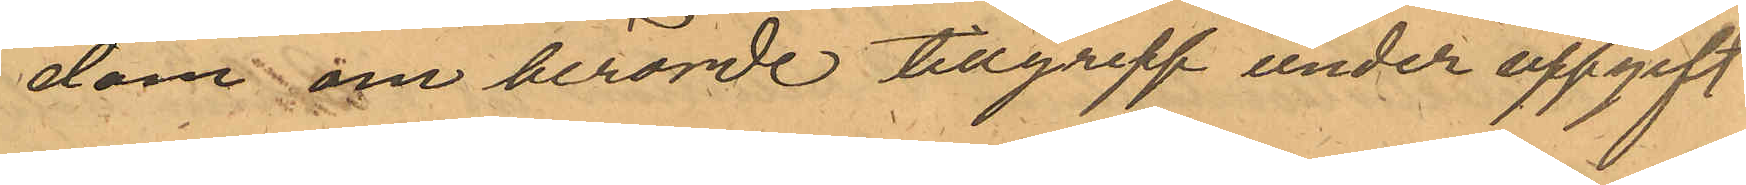dom om berörde tillgrepp under uppgift
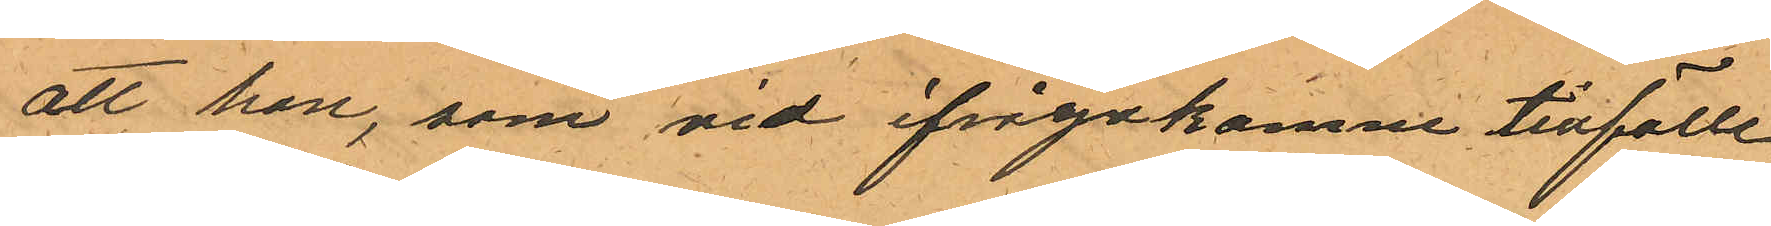att han, som vid ifrågakomne tillfälle,
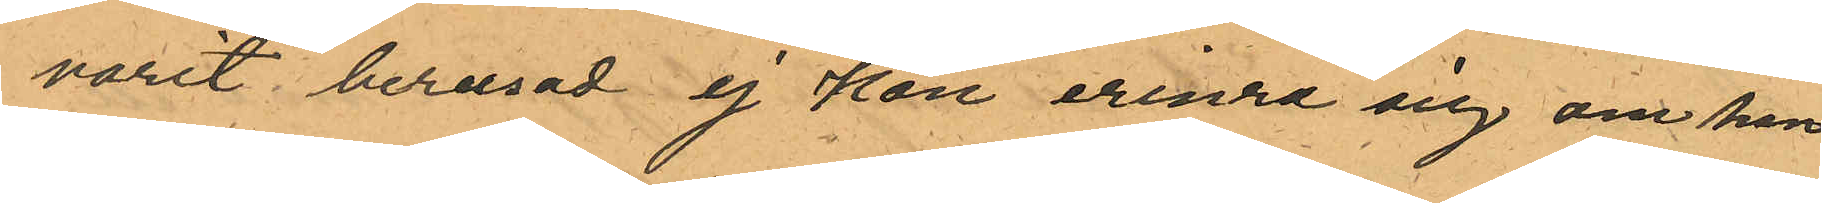varit berusad ej kan erinra sig om han
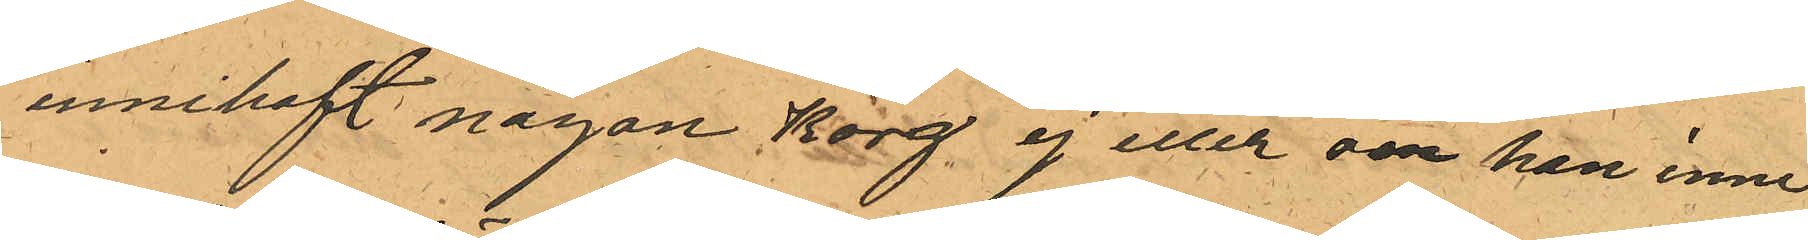innehaft någon korg ej eller om han inne¬
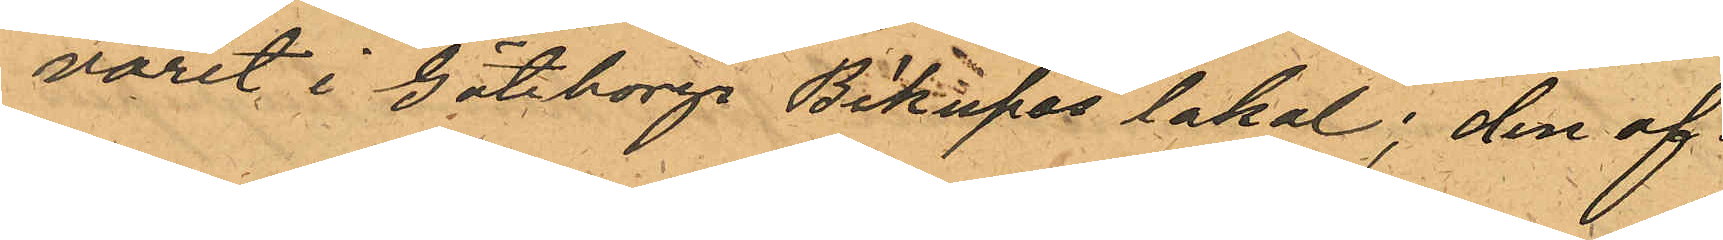varit i Göteborgs Bikupas lokal; den af
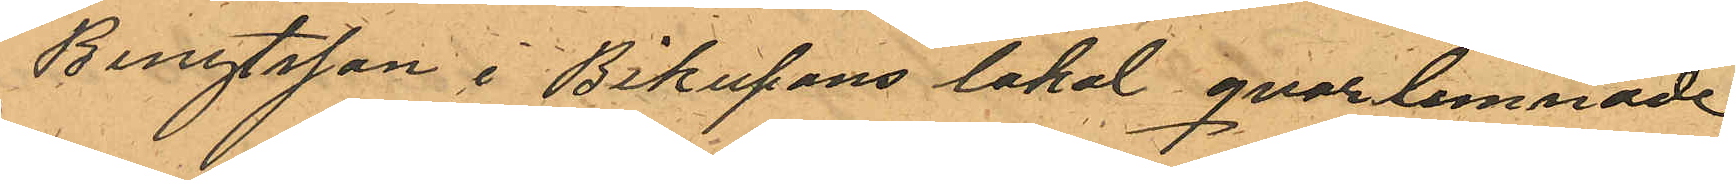Bengtsson i Bikupans lokal qvarlemnade
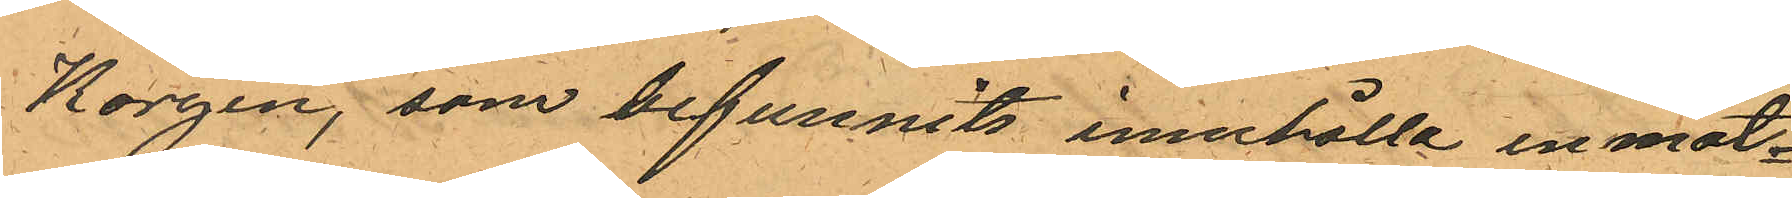Korgen, som befunnits innehålla en mat¬
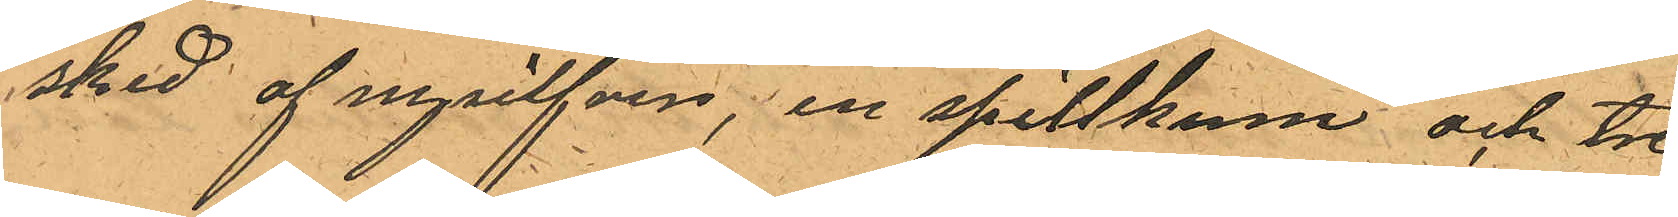sked af nysilfver; en spillkum och tre
